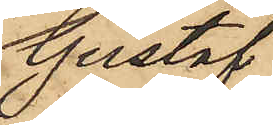Gustaf
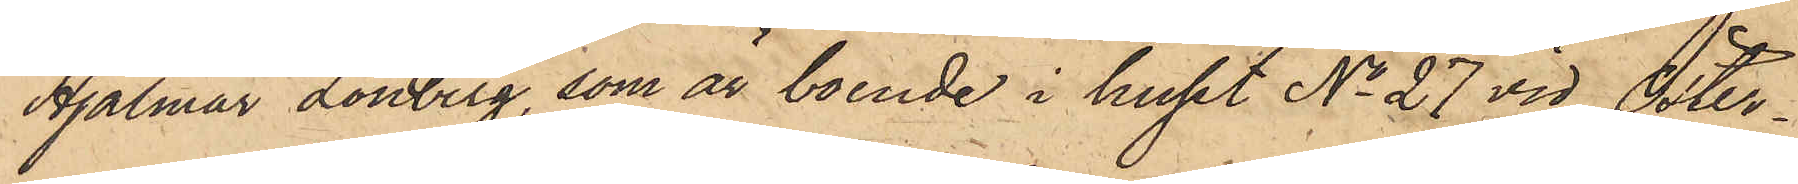Hjalmar Lönberg, som är boende i huset No 27 vid Öster¬
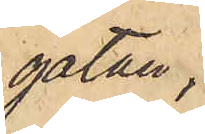gatan,
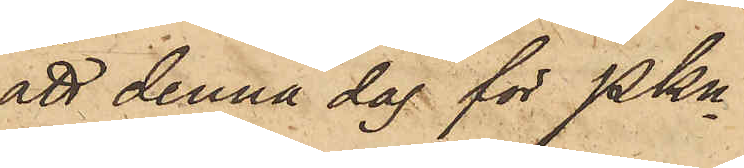att denna dag för PKn
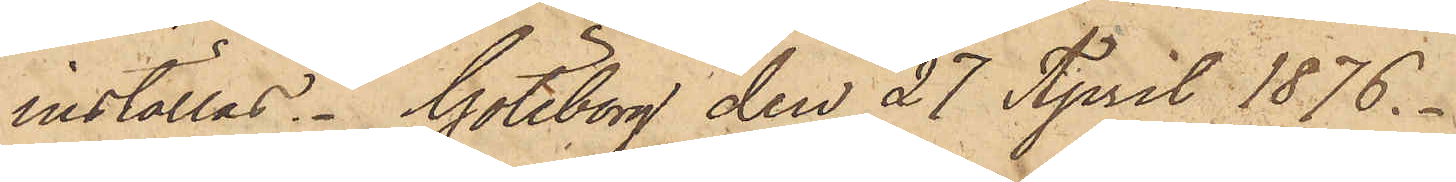inställas. Göteborg den 27 April 1876.
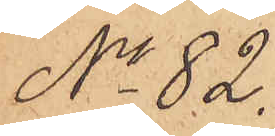No 82.
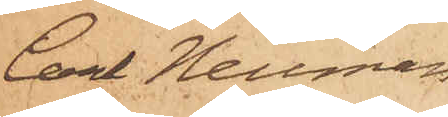Carl  Neuman
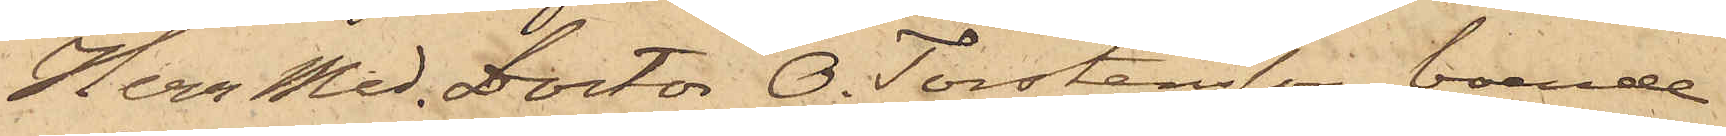Herr Med. Doctor O. Torstensson, boende
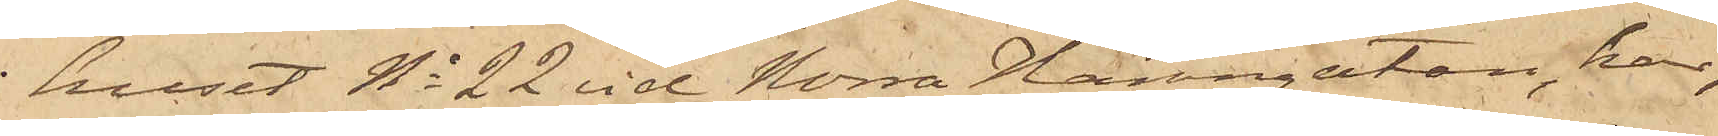i huset No 22 vid Norra Hamngatan, har,
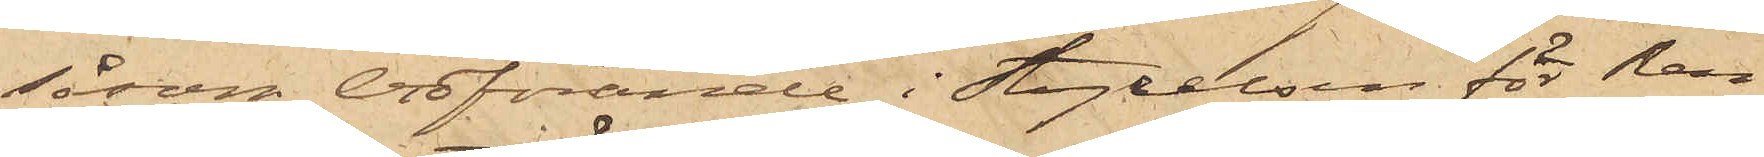såsom ordförande i Styrelsen för Ren¬
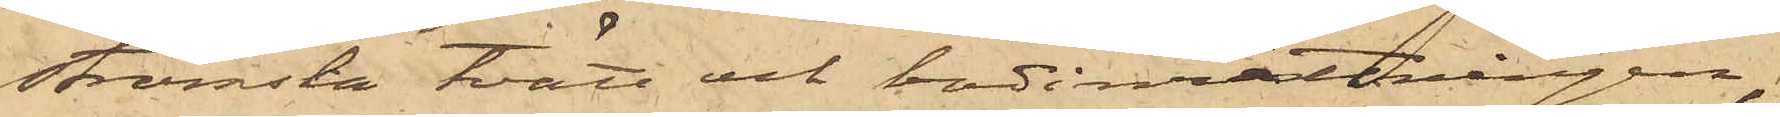strömska tvätt och badinrättningen,
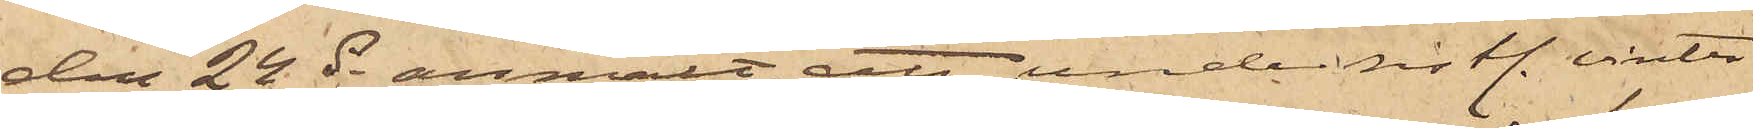den 24 ds anmält, att under sist. vinter
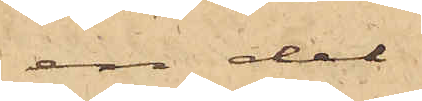en del
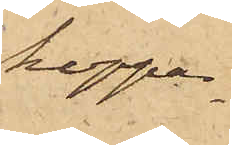koppar¬
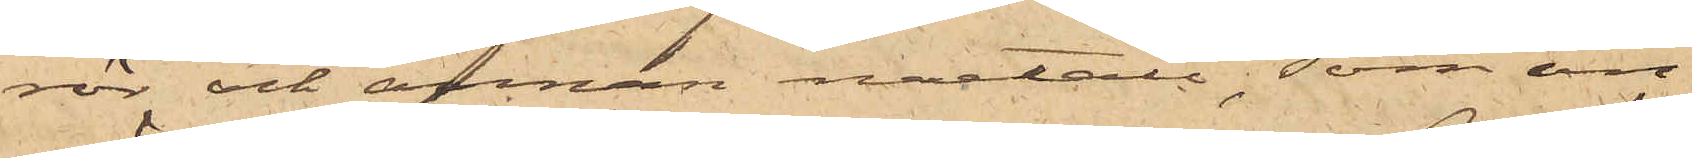rör och annan metall, som an¬
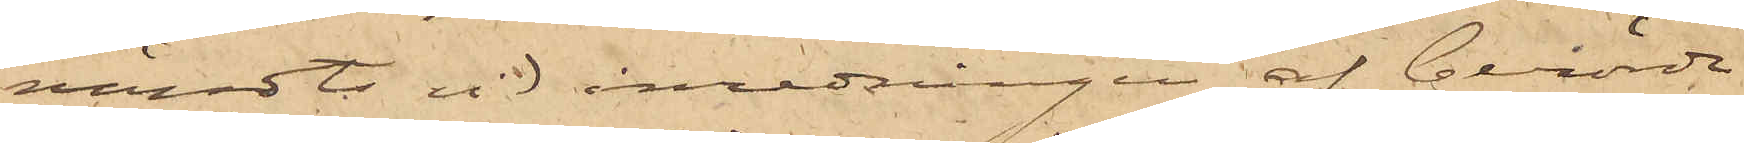vändts vid inredningen af berörde
